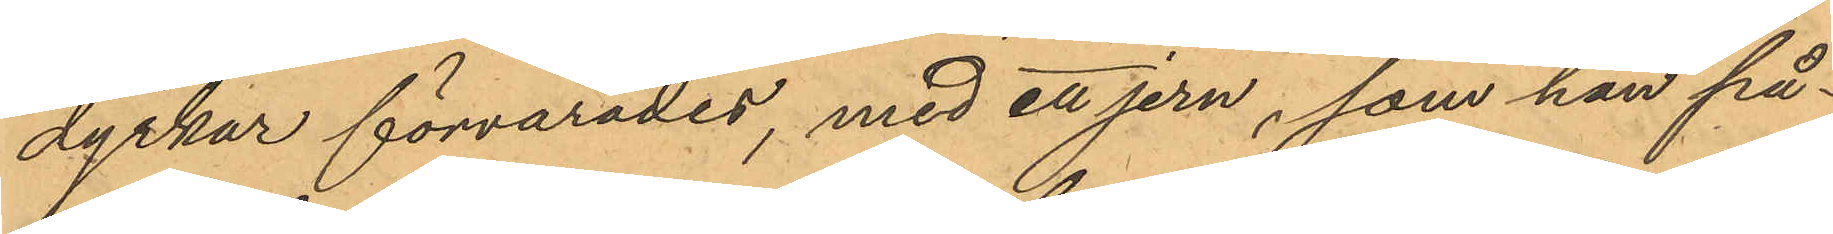dyrkar förvarades, med ett jern, som han på¬
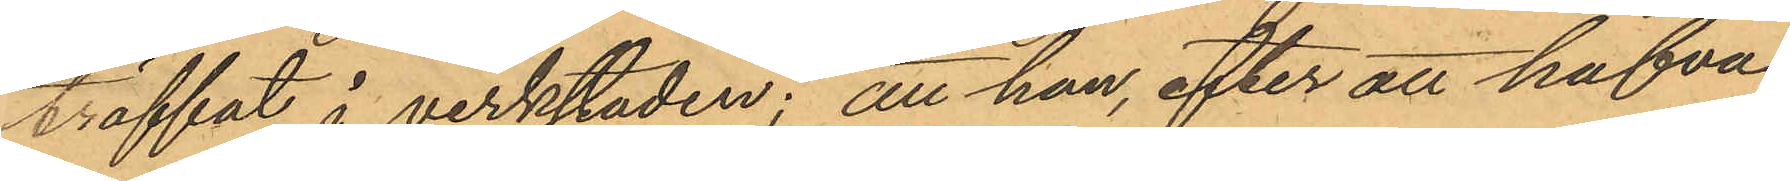träffat i verkstaden; att han, efter att hafva
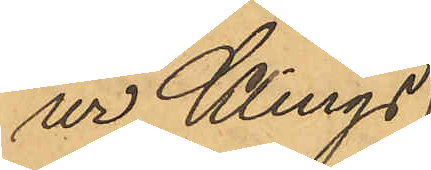ur Klings
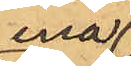ena
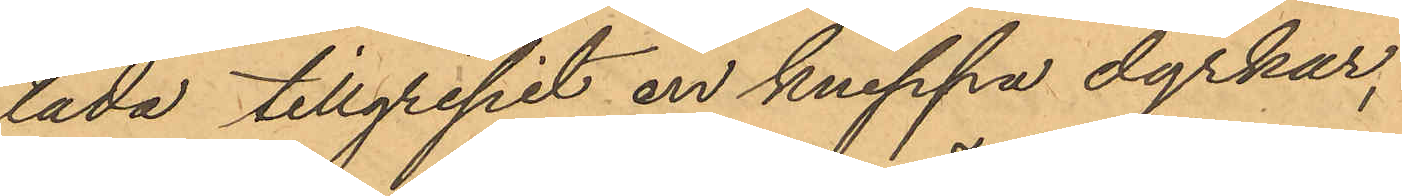låda tillgripit en knippa dyrkar,
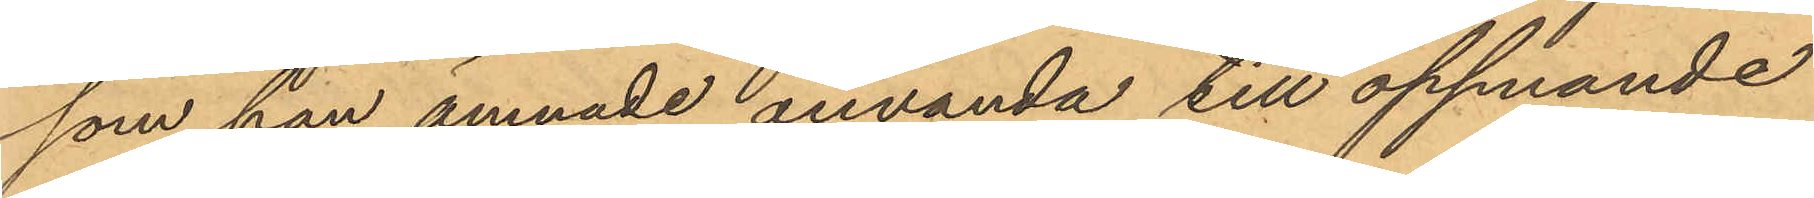som han ämnade använda till öppnande
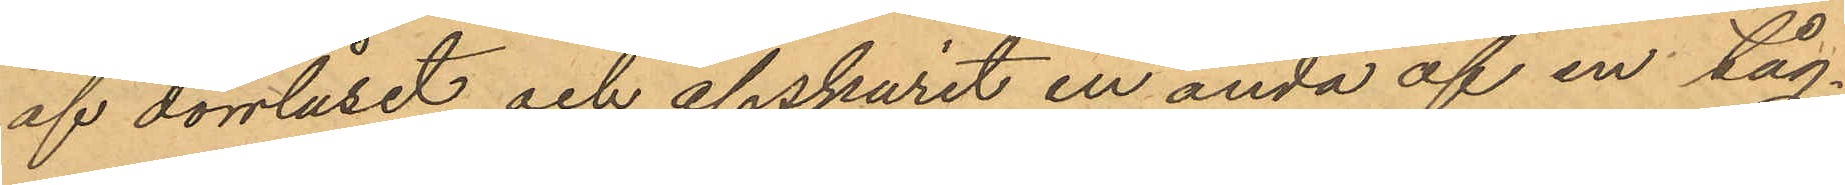af dörrlåset och afskurit en ända af en tåg¬
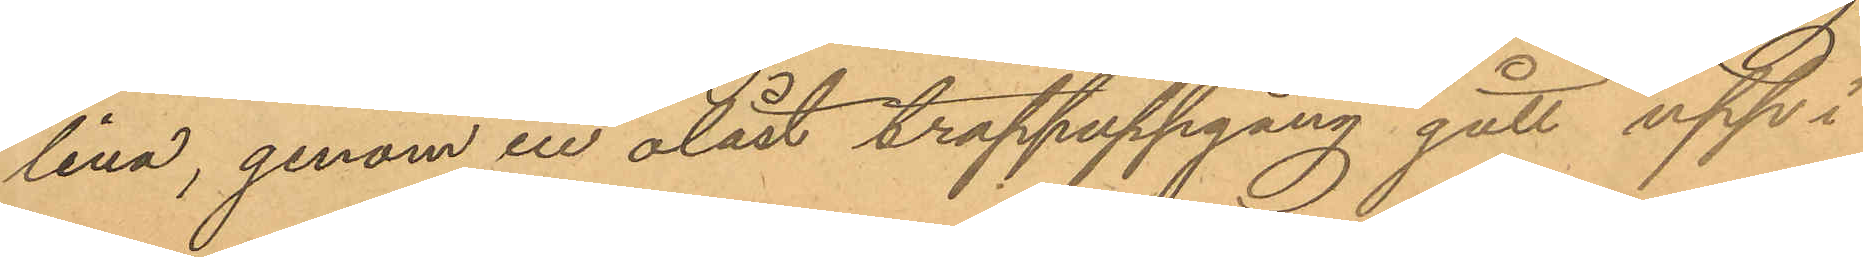lina, genom en olåst trappuppgång gått upp i
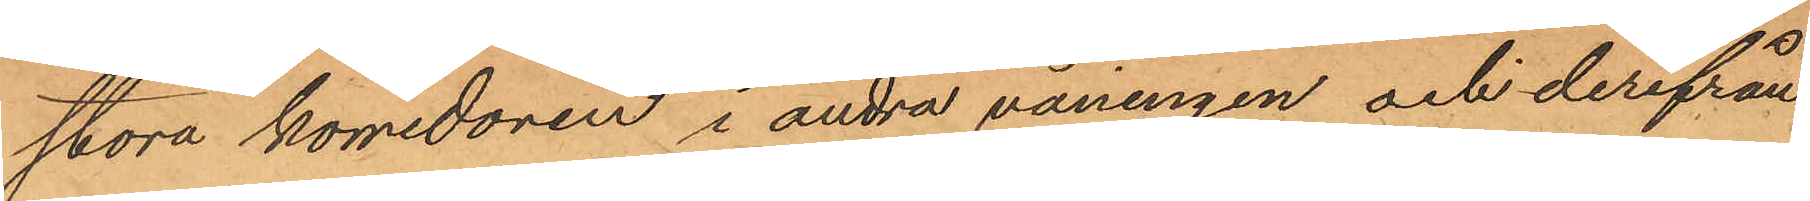stora korridoren i andra våningen och derifrån
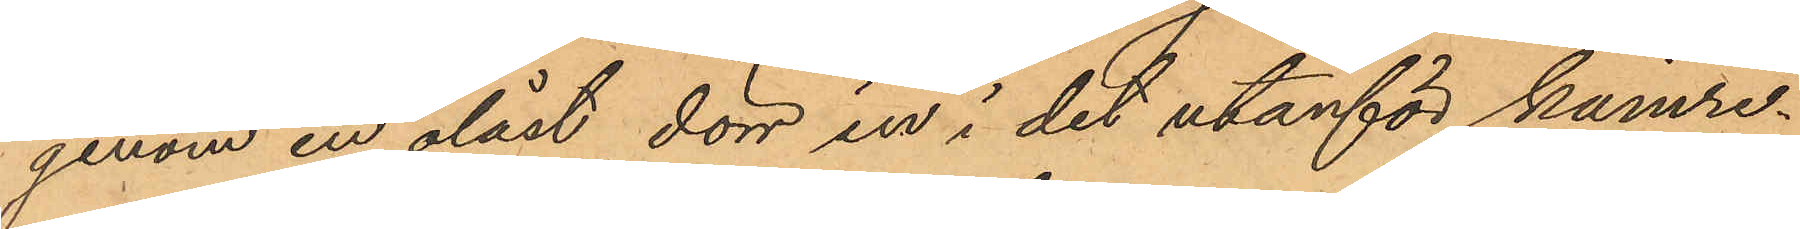genom en olåst dörr in i det utanför kamre¬
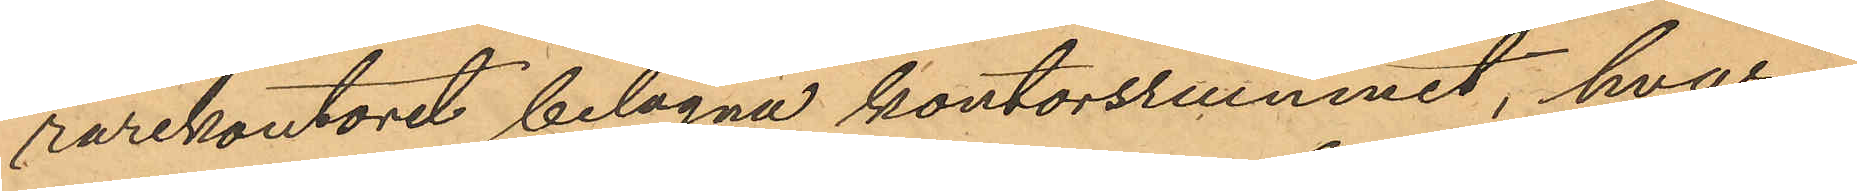rarekontoret belägna kontorsrummet, hvari¬
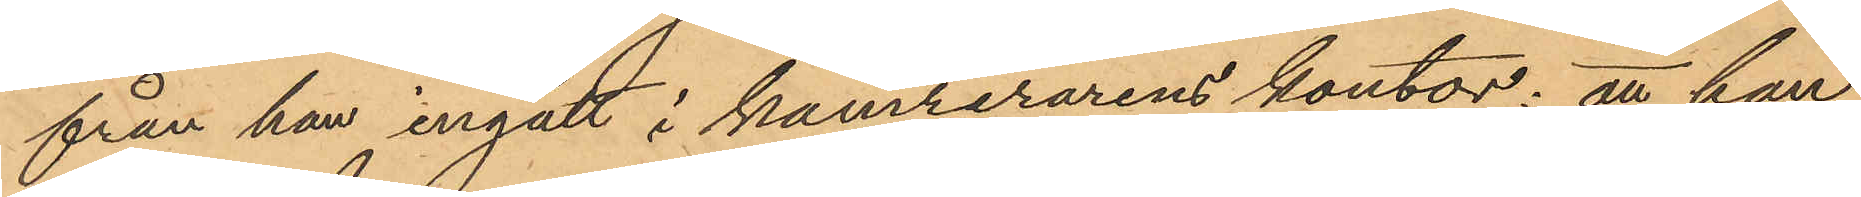från han ingått i kamrerarens kontor; att han
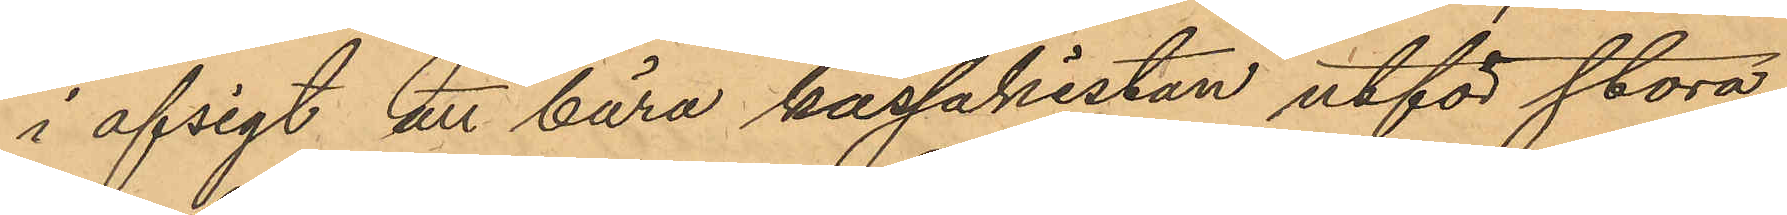i afsigt att bära kassakistan utför stora
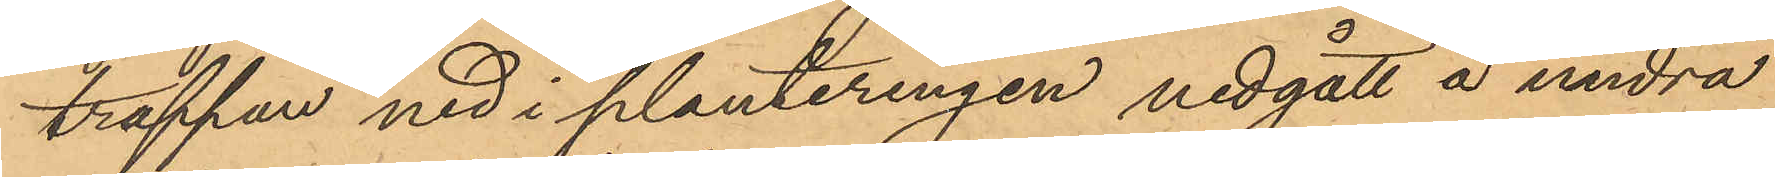trappan ned i planteringen nedgått å andra
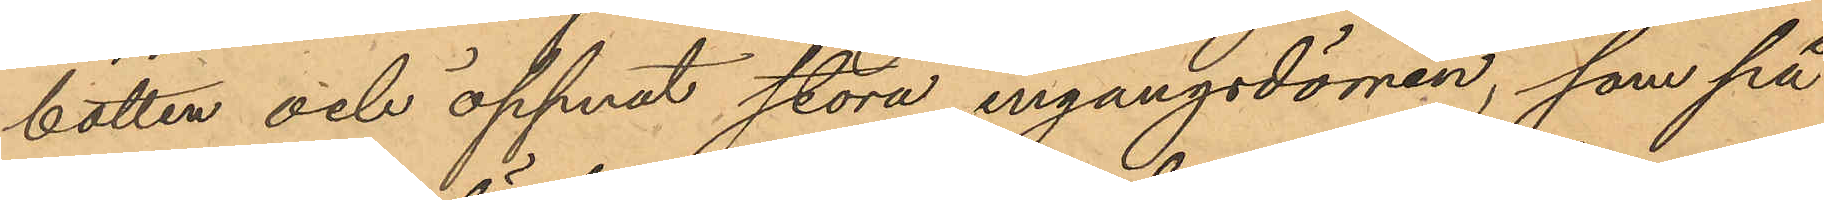botten och öppnat stora ingångsdörren, som på
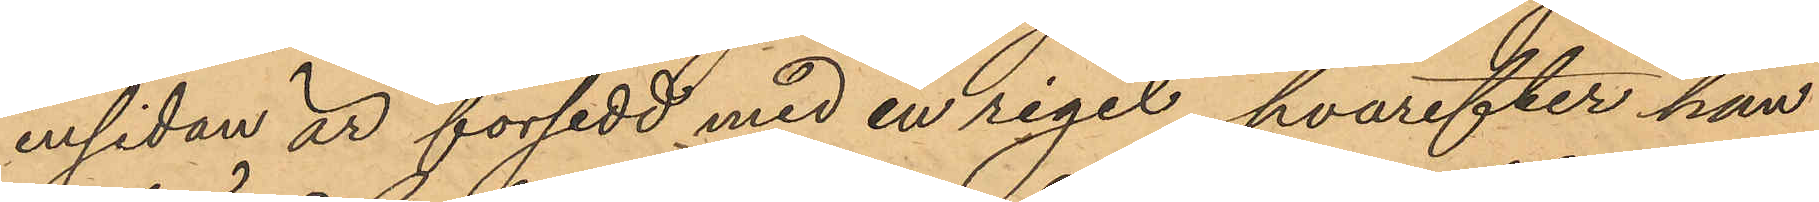insidan är försedd med en rigel, hvarefter han
